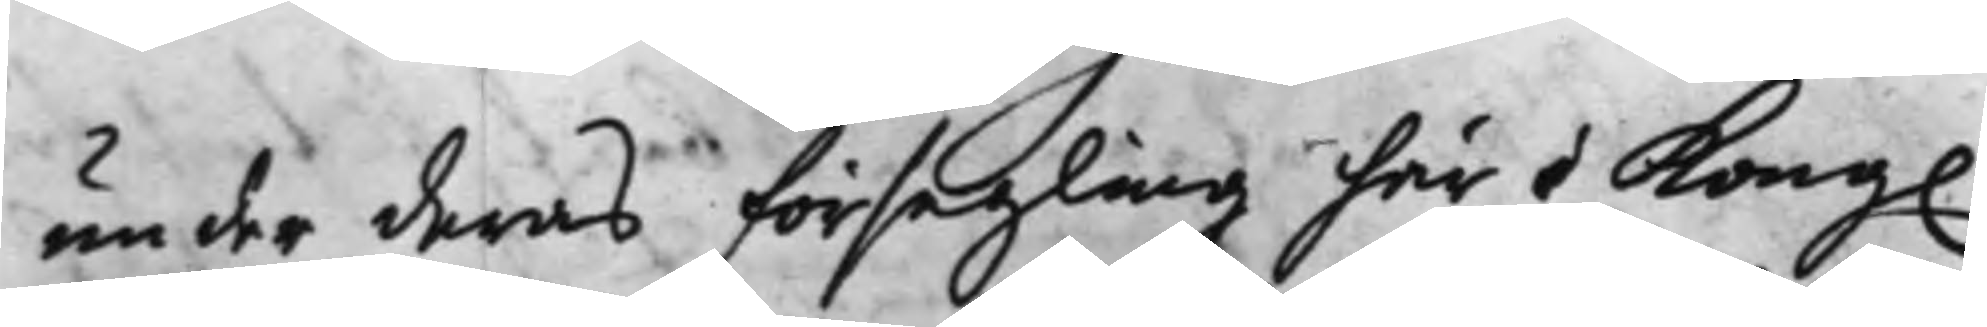under deras försegling här i Kong.
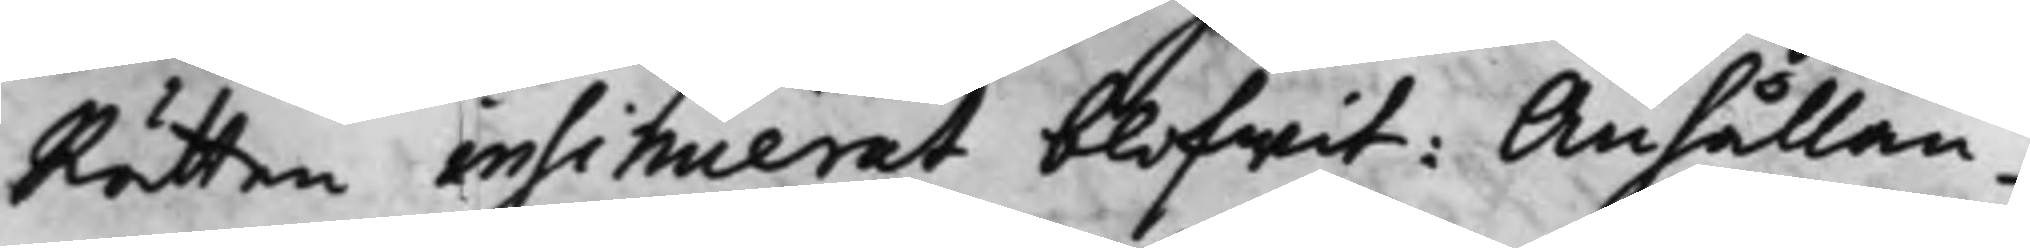Rätten insinuerat blifwit: Anhållan¬
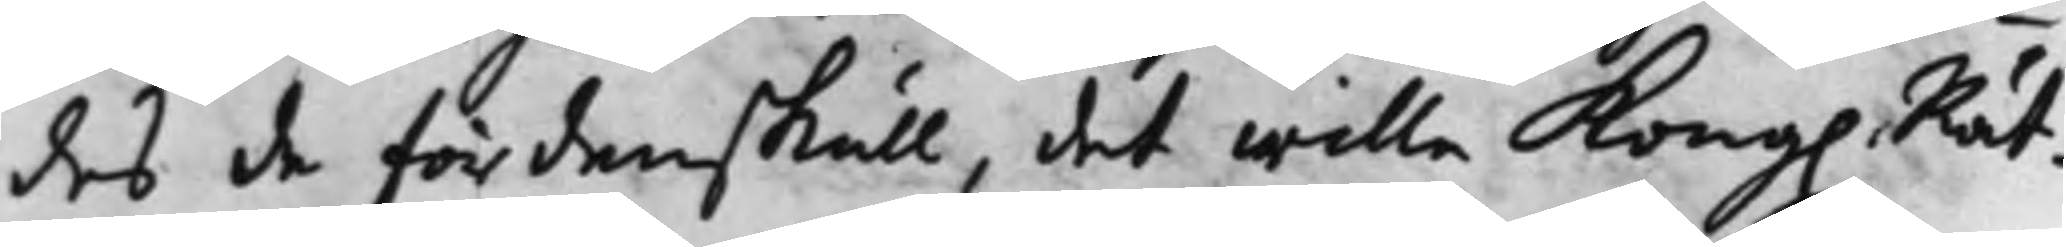des de fördenskull, det wille Kong. Rät¬
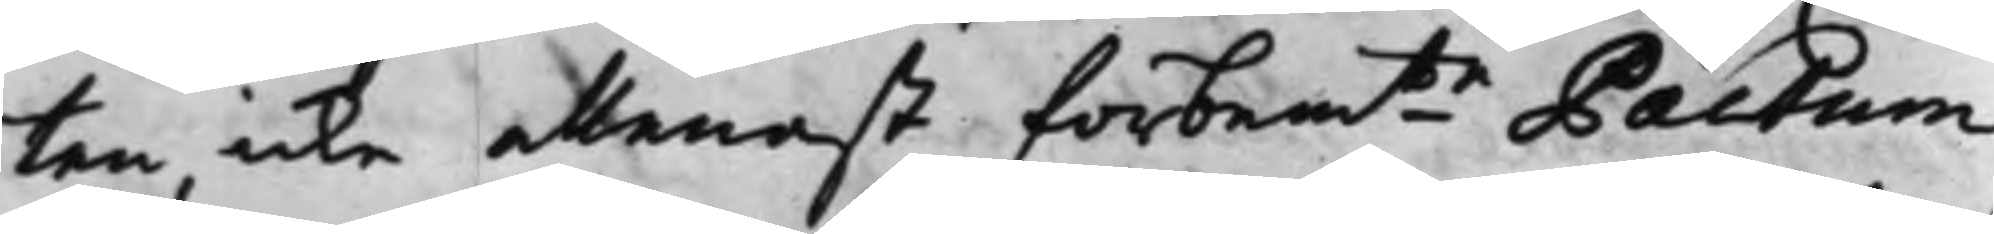ten, icke allenast förbem:te Pactum
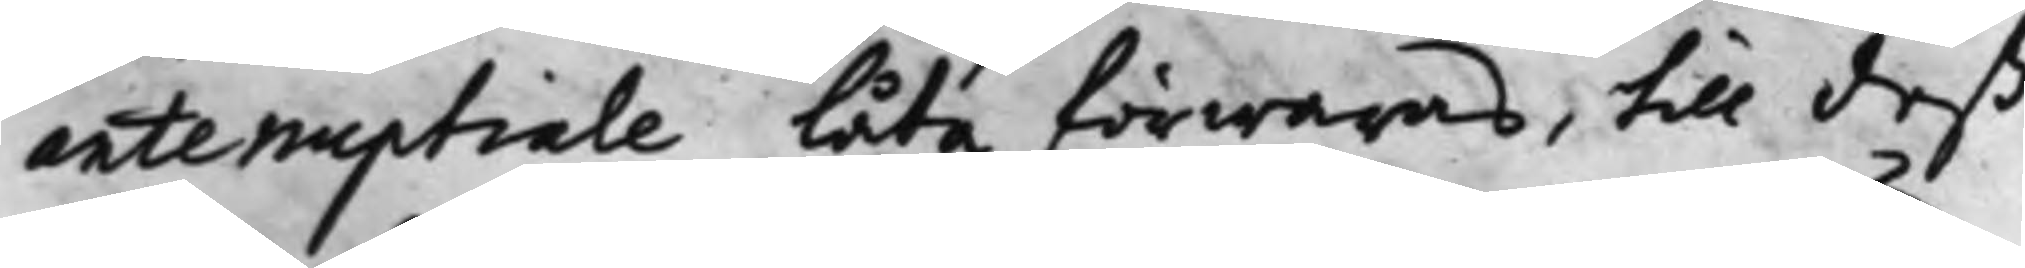antenuptiale låta förwaras, till deß
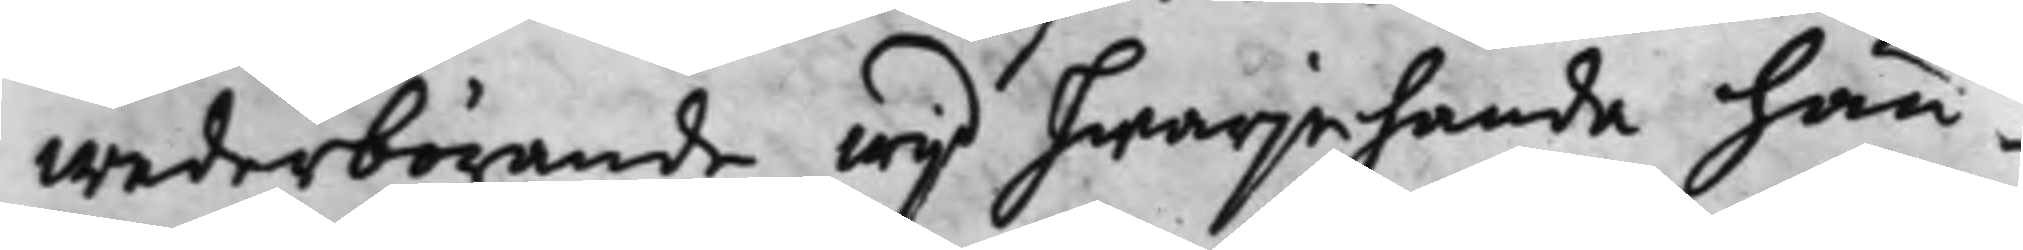wederbörande wijd hwarjehanda hän¬
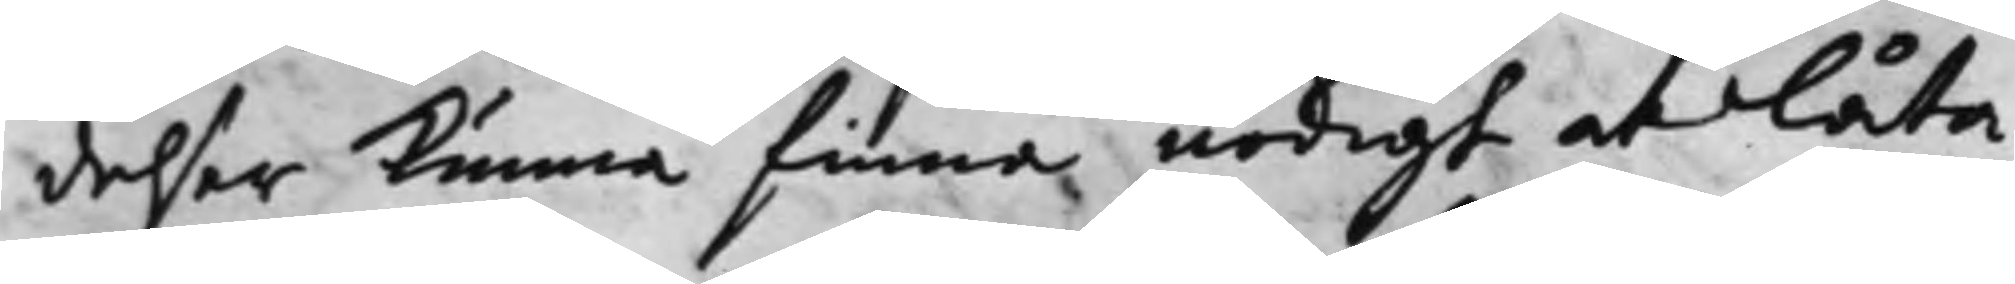delser Kunna finna nödigt at låta
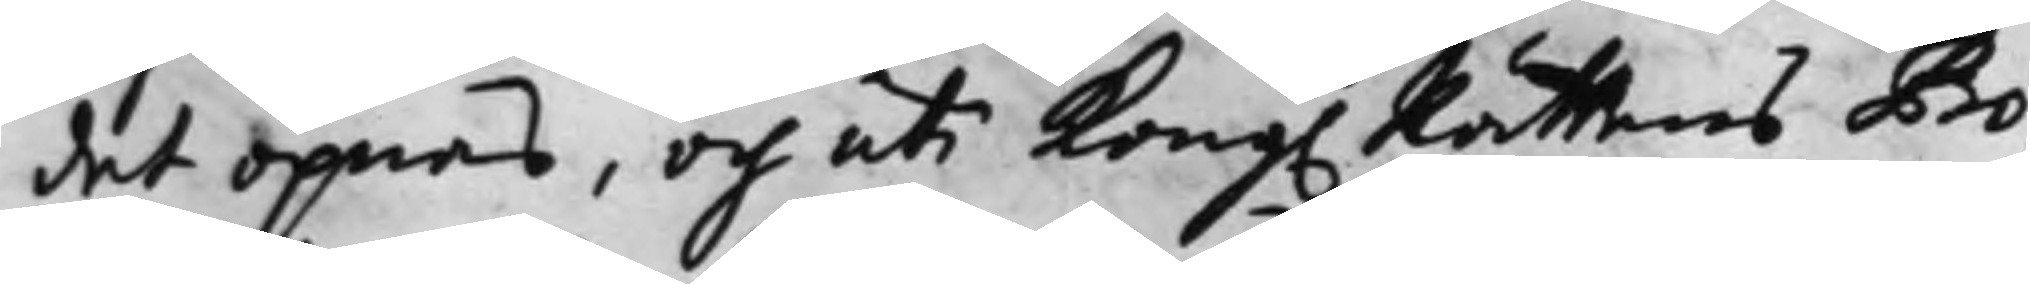det öpnas, och uti Kong. Rättens Pro¬
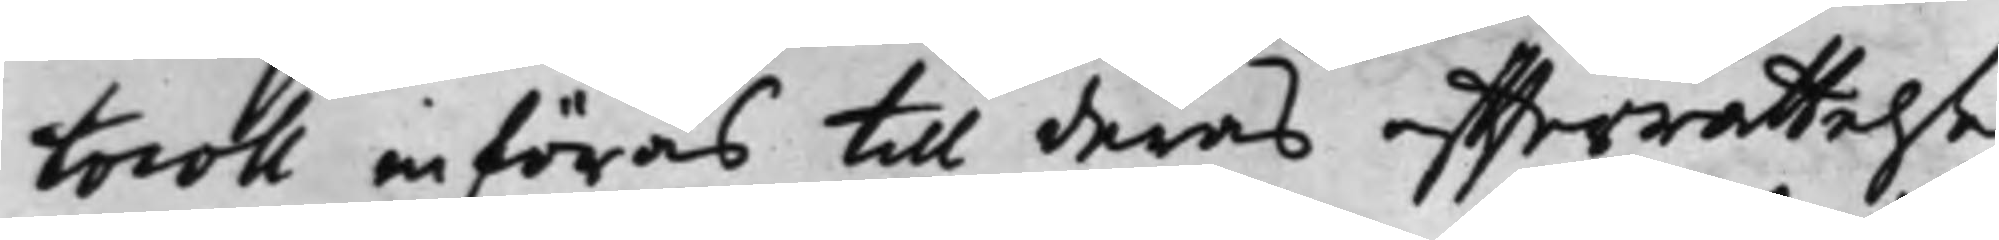tocoll införas till deras effterrättelse
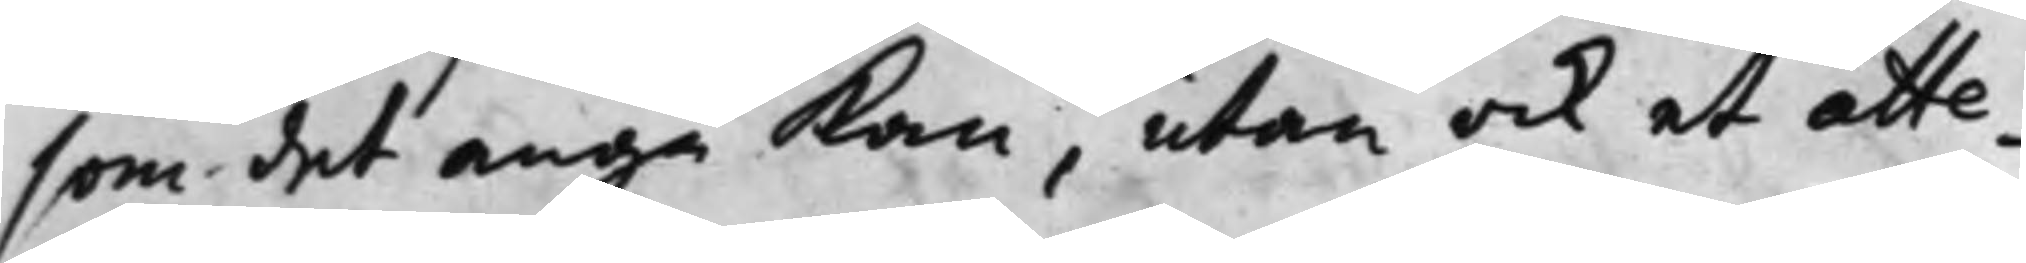som det angå Kan, utan ock at atte¬
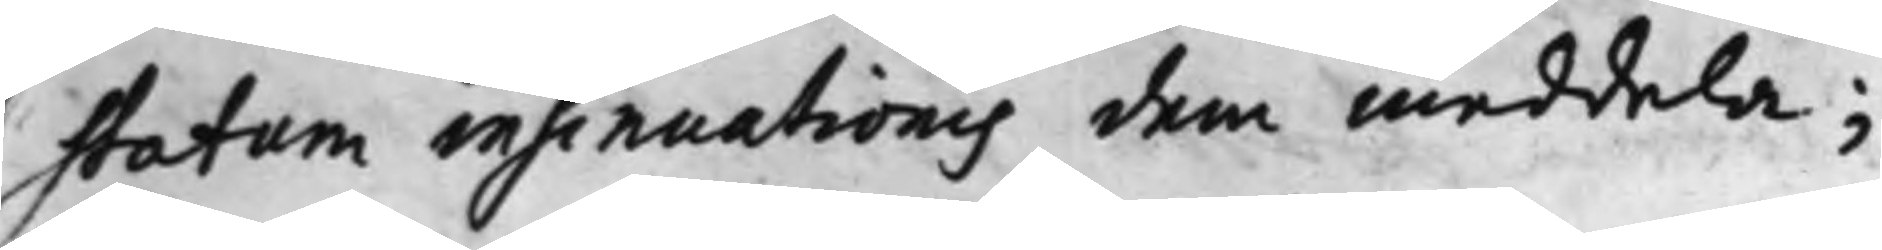statum insinuationis dem meddela;
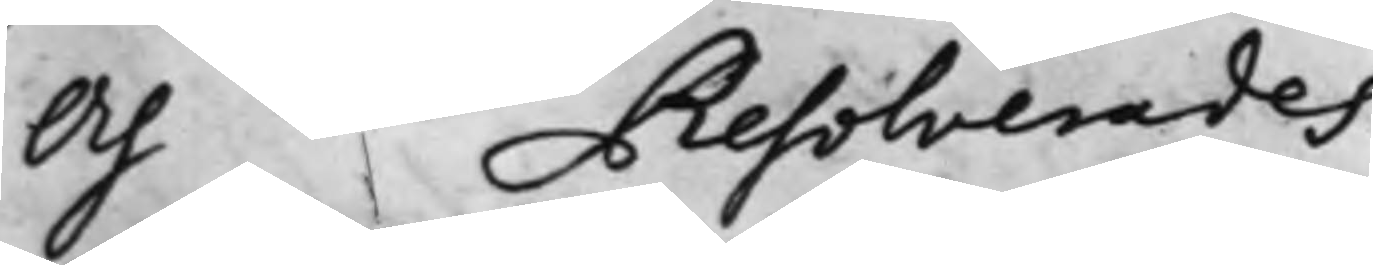Och Resolverades
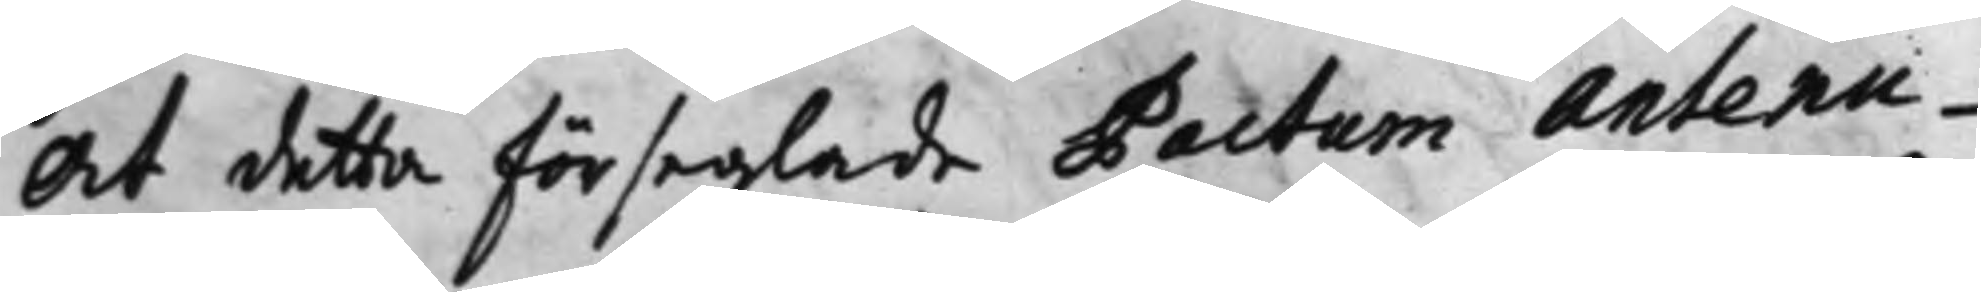At detta förseglade Pactum antenu¬
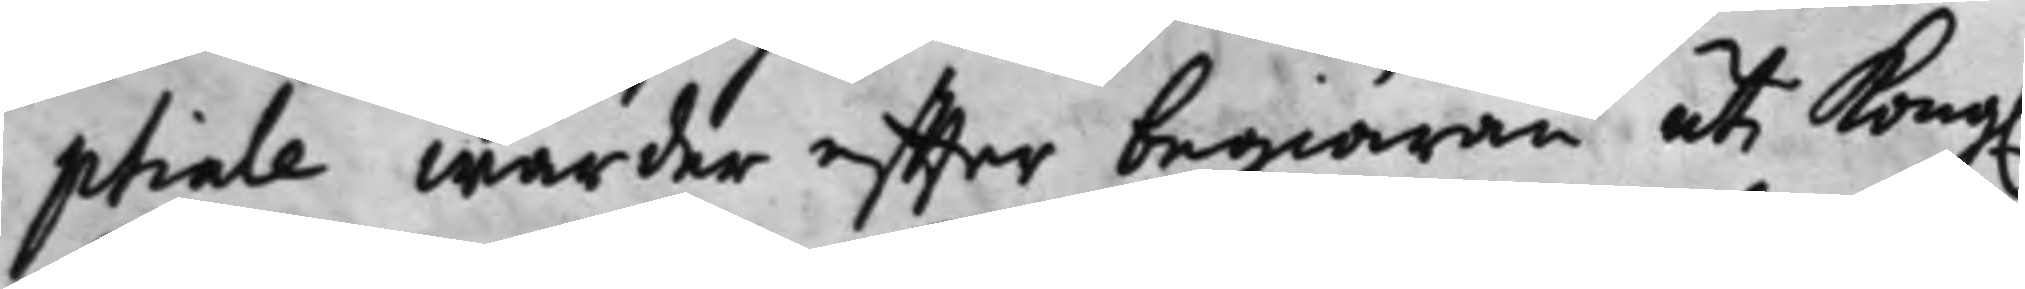ptiale warder effter begiäran uti Kong.
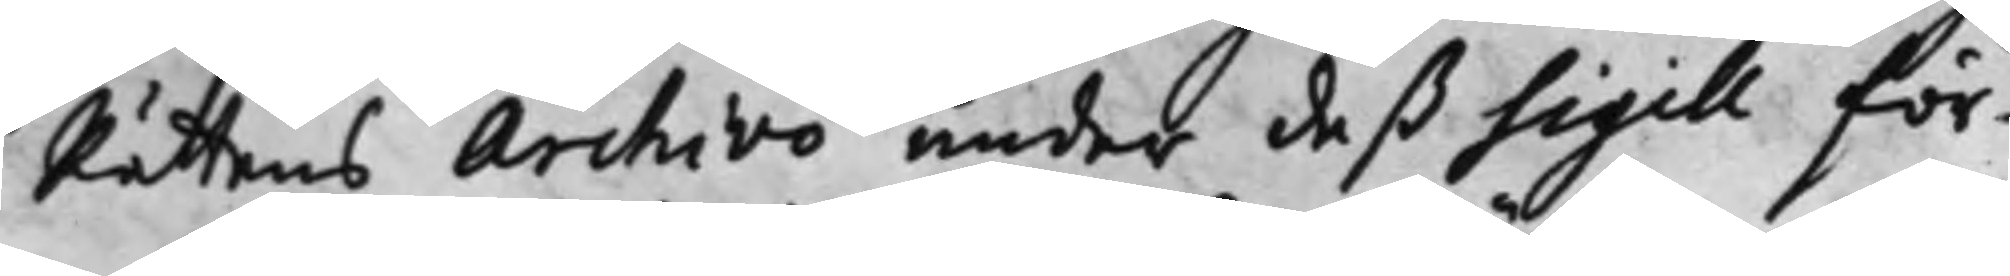Rättens Archivo under deß Sigill för¬
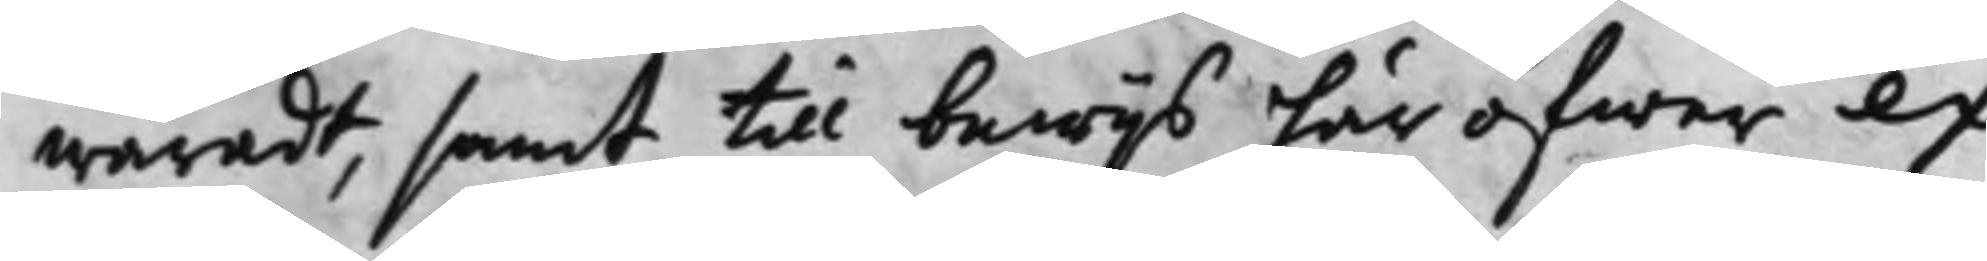waradt, samt till bewijs här öfwer ex¬
